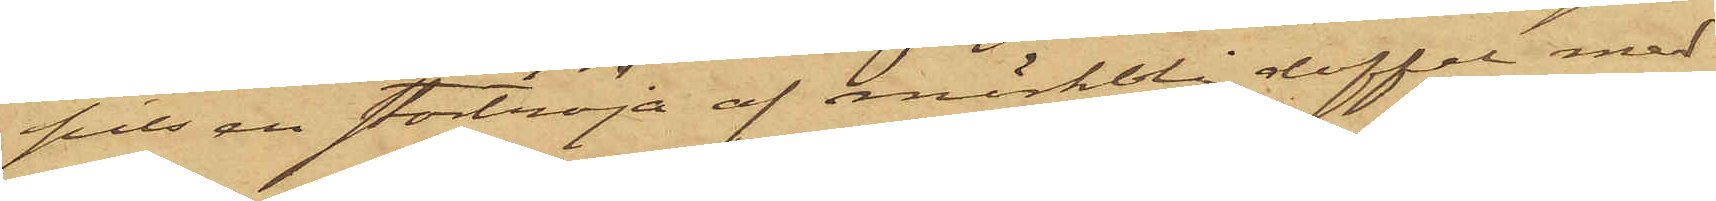pits en stortröja af mörkblå doffel med
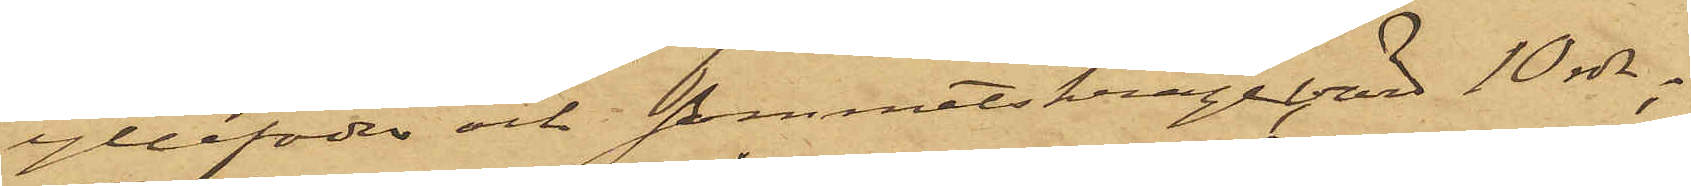yllefoder och Sammetskrage, värd 10 rdr;
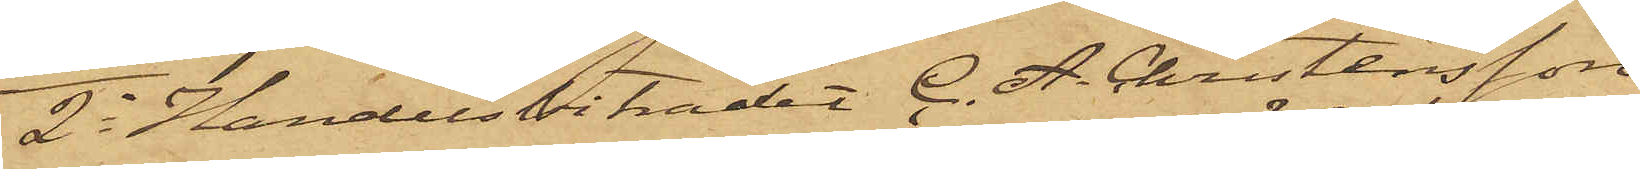2o Handelsbiträdet C. A. Christensson,
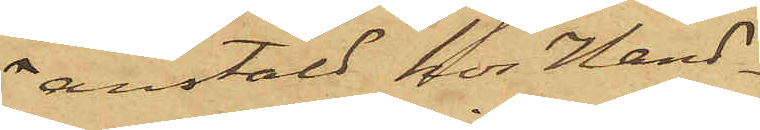anstäld hos Hand¬
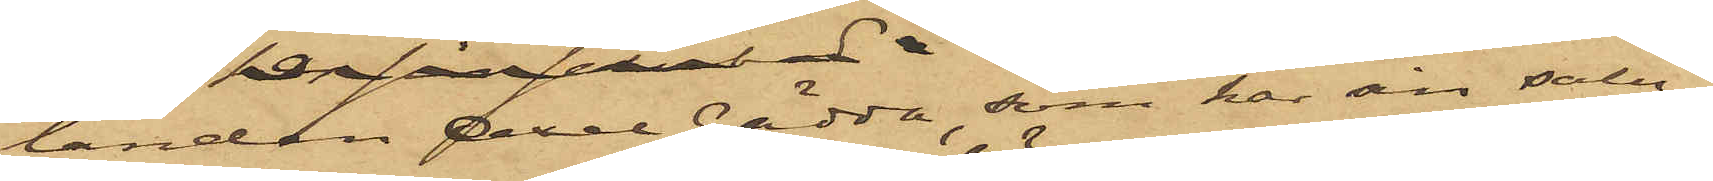landen Axel Gädda, som har sin salu¬
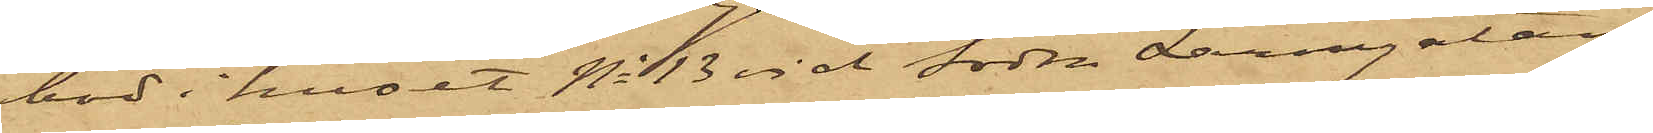bod i huset No 13 vid Södra Larmgatan,
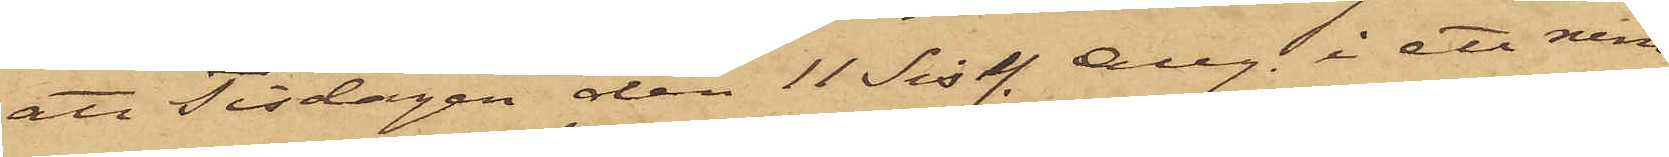att Tisdagen den 11 sist. Aug. i ett rum
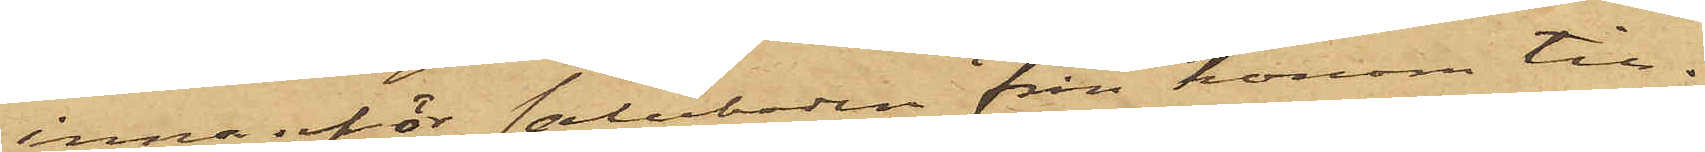innanför saluboden från honom till¬
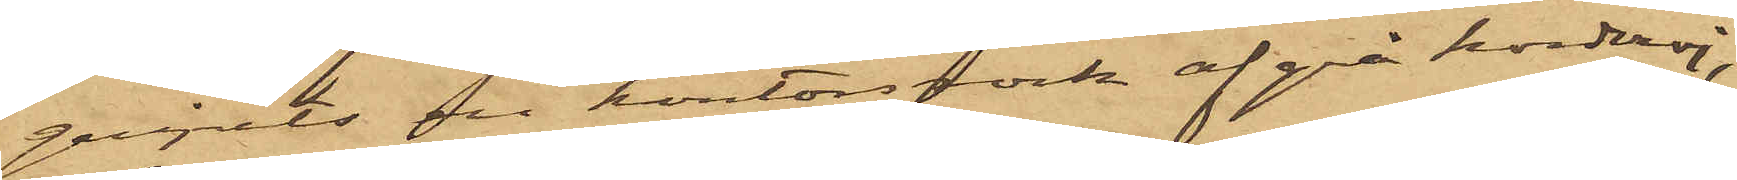gripits en kontorsrock af grå korderoj,
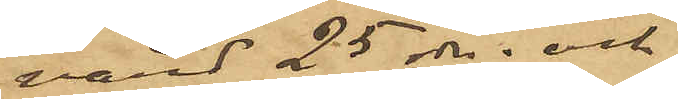värd 25 rdr; och
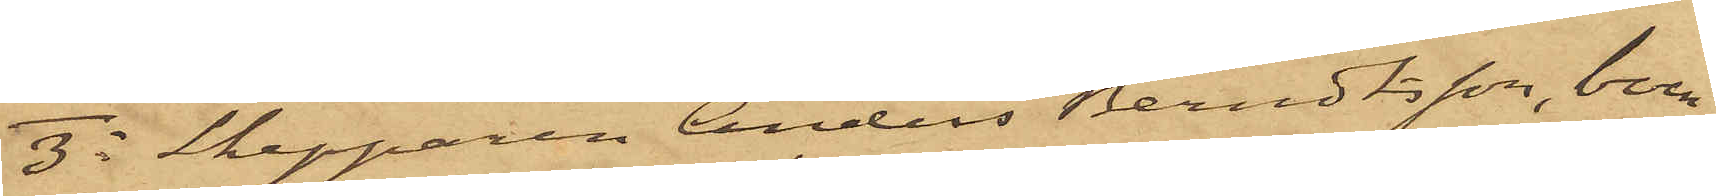3o Skepparen Anders Berndtsson, boen¬
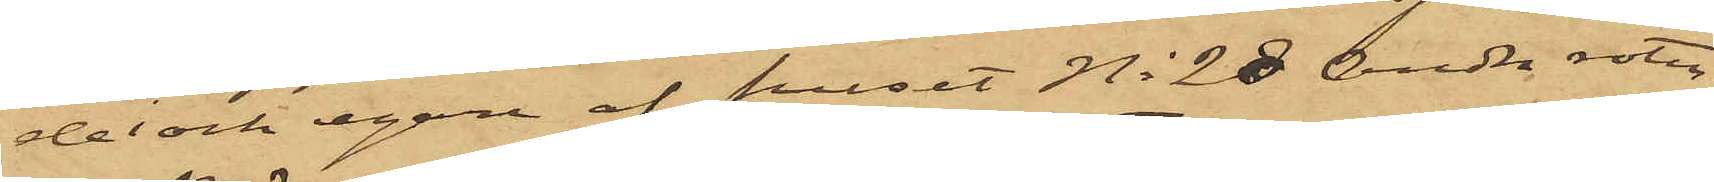de i och egare af huset No 28 andra roten
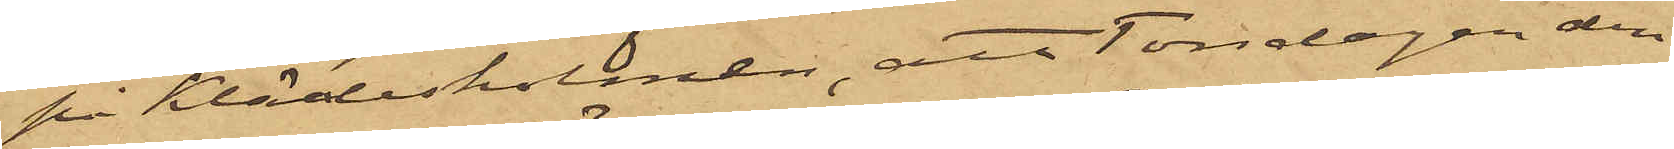på Klädesholmen, att Torsdagen den
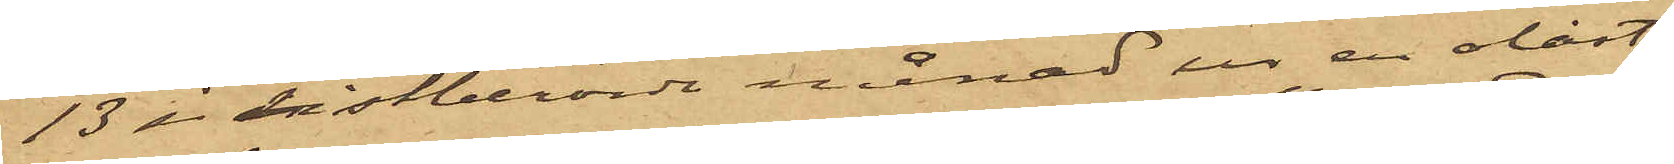13 i sistberörde månad ur en olåst
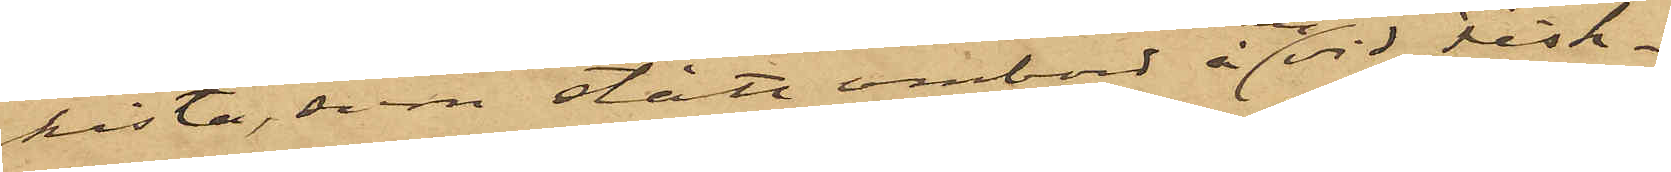kista, som stått ombord å en vid Fisk¬
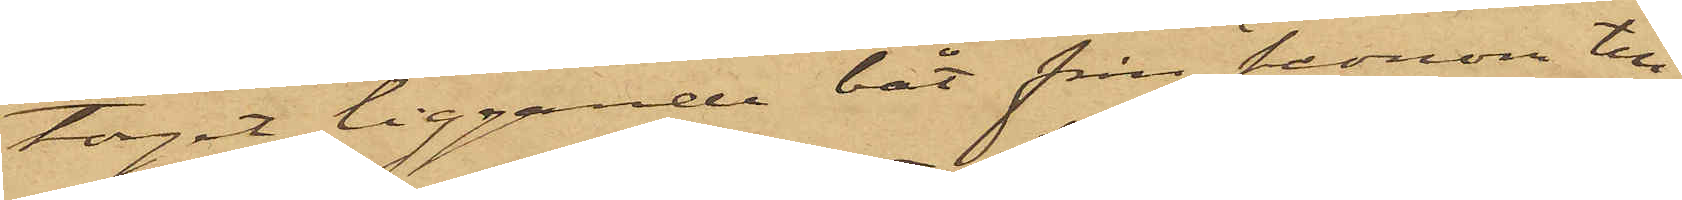torget liggande båt från honom till¬
